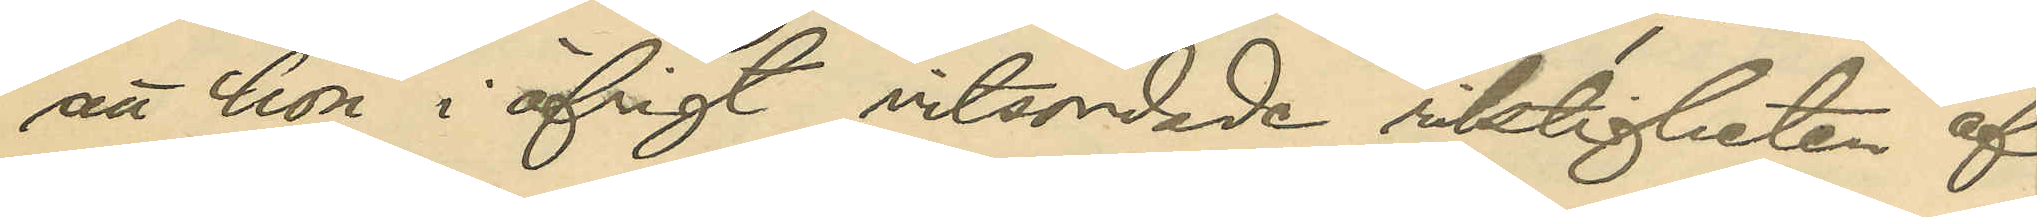att hon i öfrigt vitsordade riktigheten af
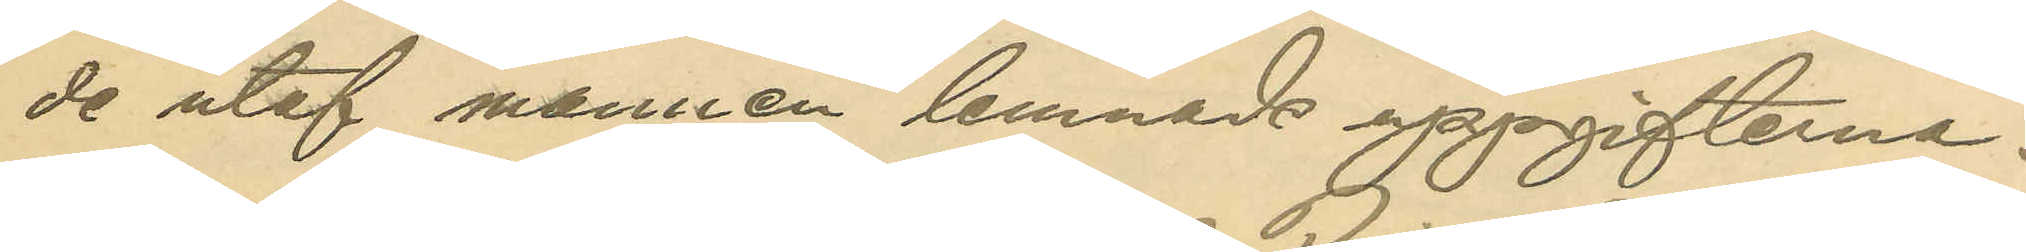de utaf mannen lemnade uppgifterna.
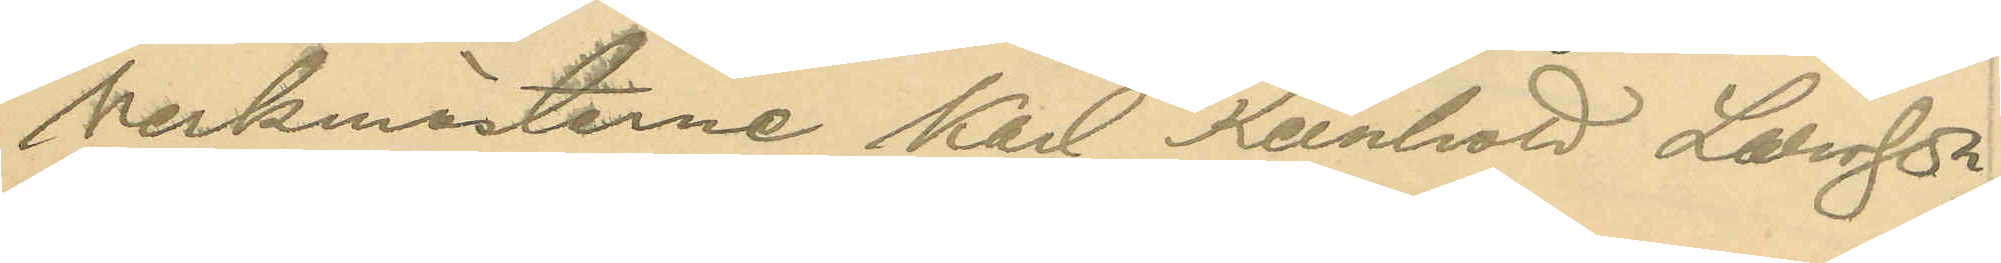Verkmästarne Karl Reinold Larsson,
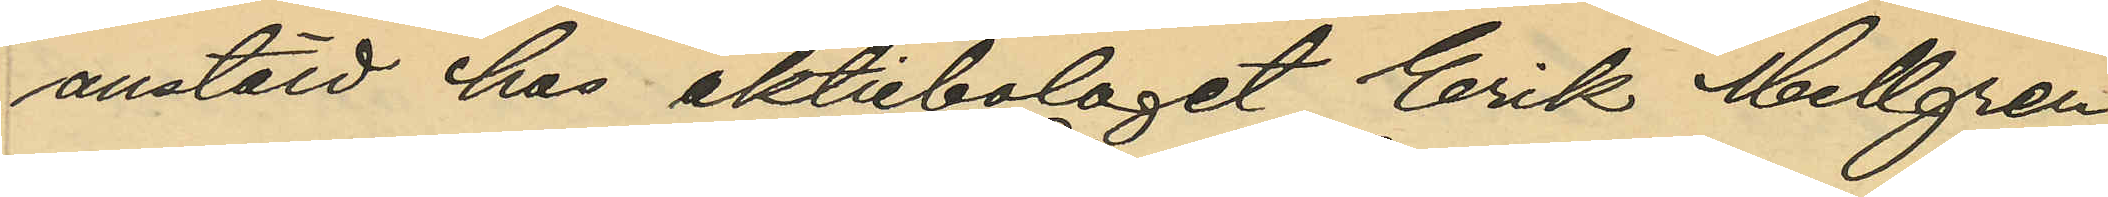anstäld hos aktiebolaget Erik Mellgren
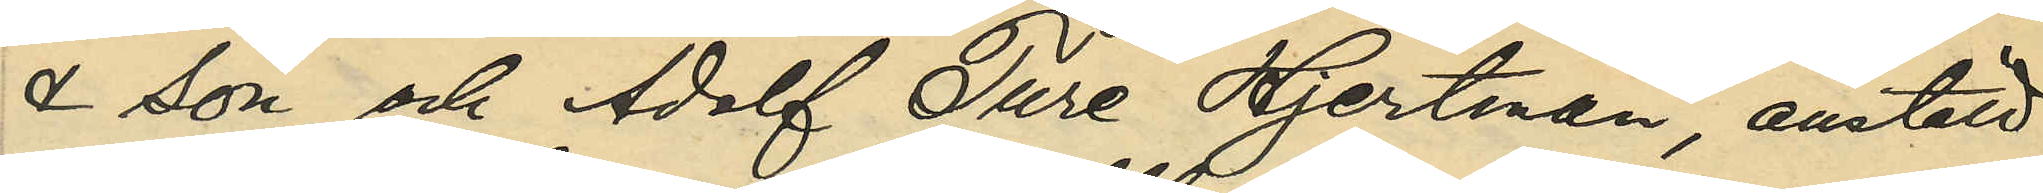& Son och Adolf Ture Hjertman, anstäld
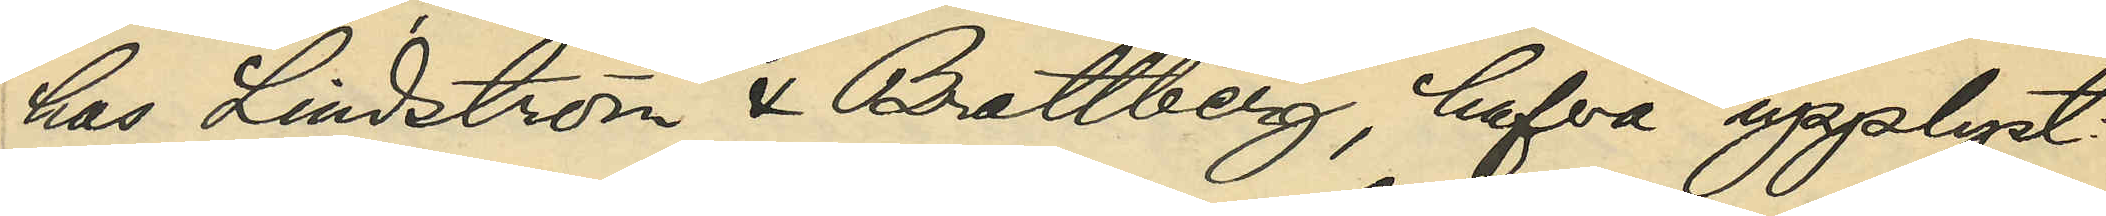hos Lindström & Brattberg, hafva upplyst
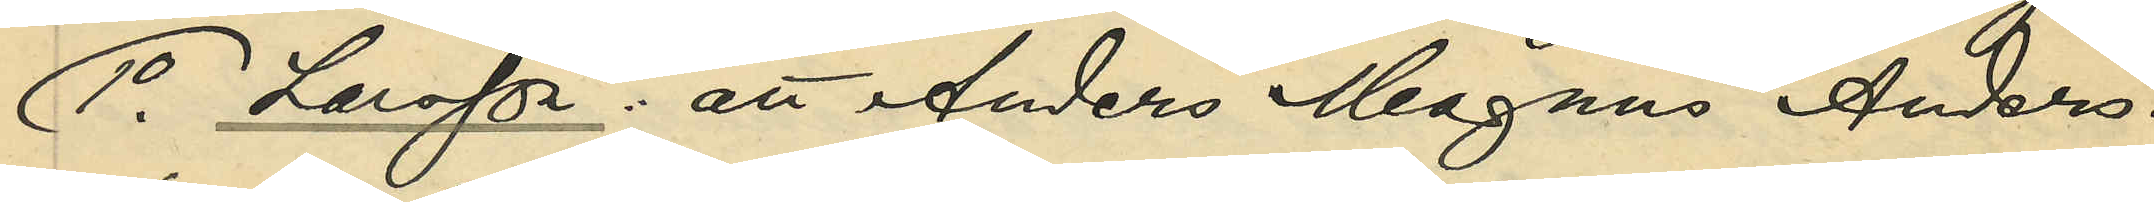1o Larsson: att Anders Magnus Anders¬
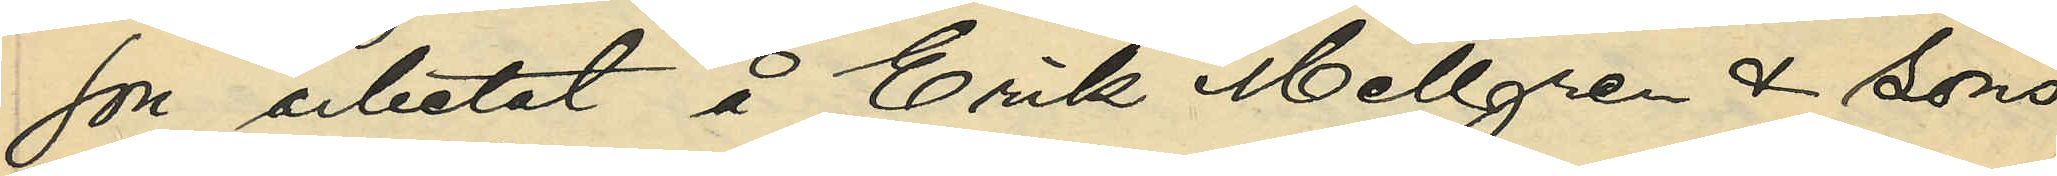son arbetat å Erik Mellgren & Sons
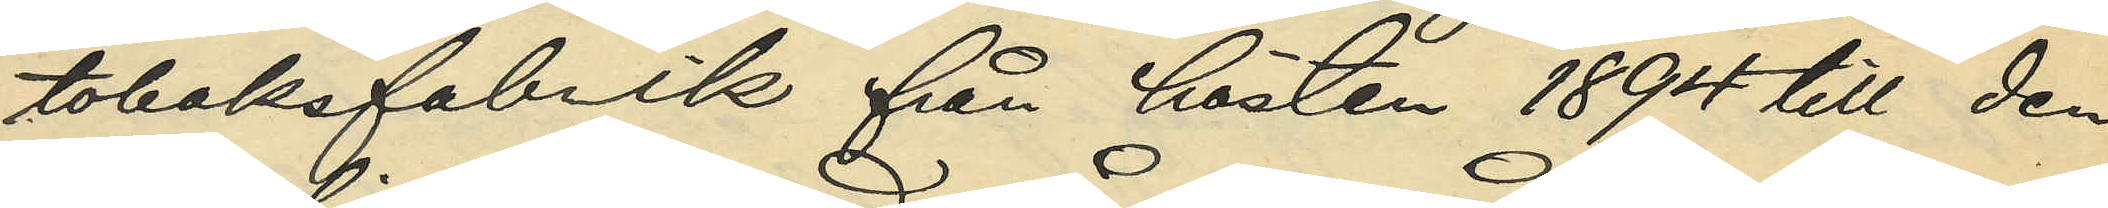tobaksfabrik från hösten 1894 till den
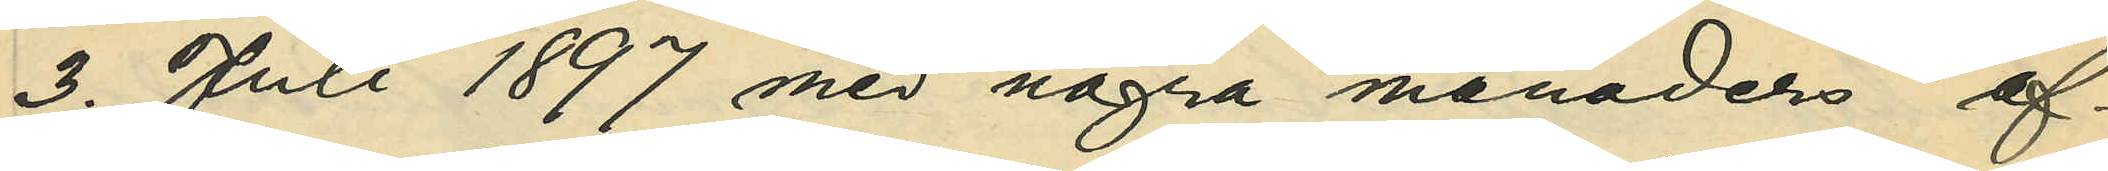3. Juli 1897 med några månaders af¬
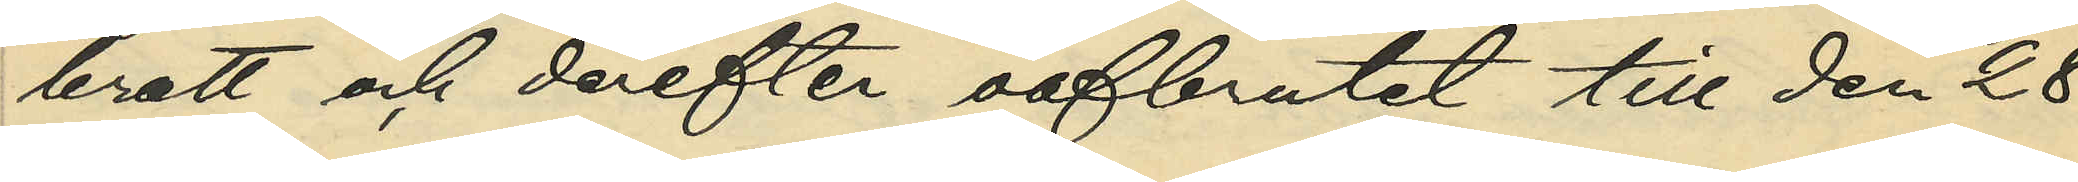brott och derefter oafbrutet till den 28.
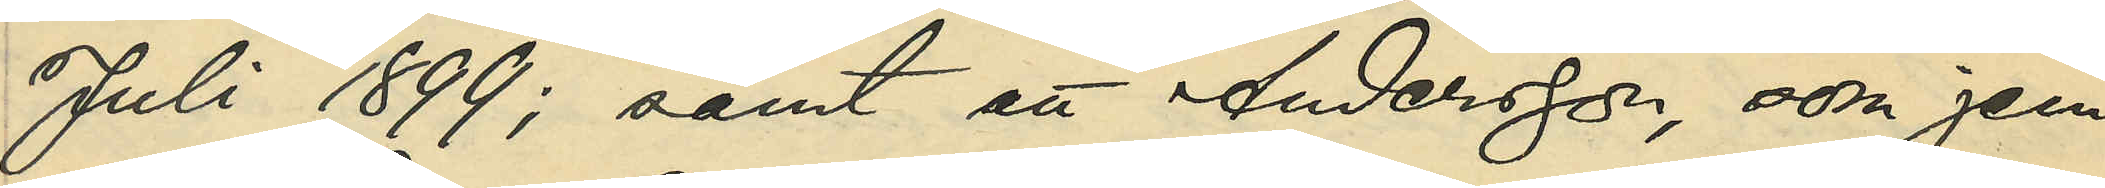Juli 1899; samt att Andersson, som jem¬
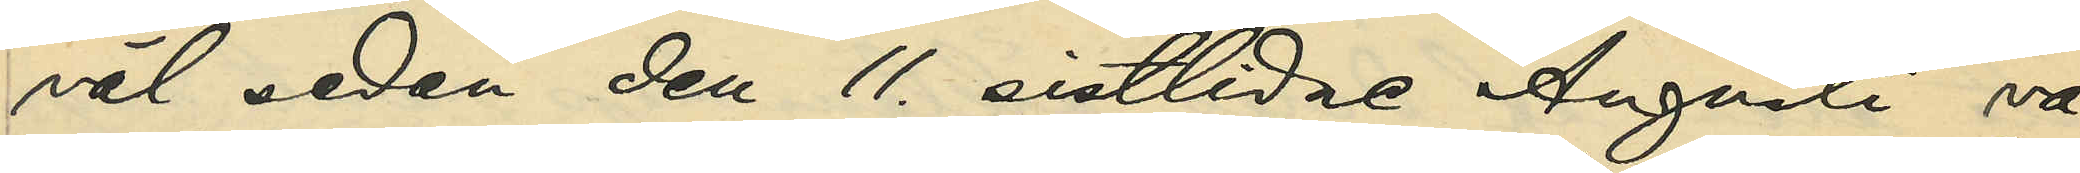väl sedan den 11. sistlidne Augusti va¬
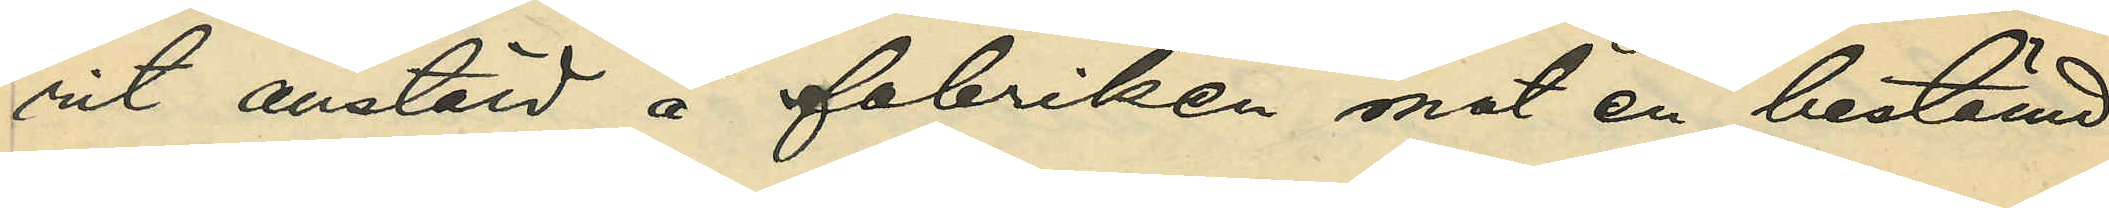rit anstäld å fabriken mot en bestämd
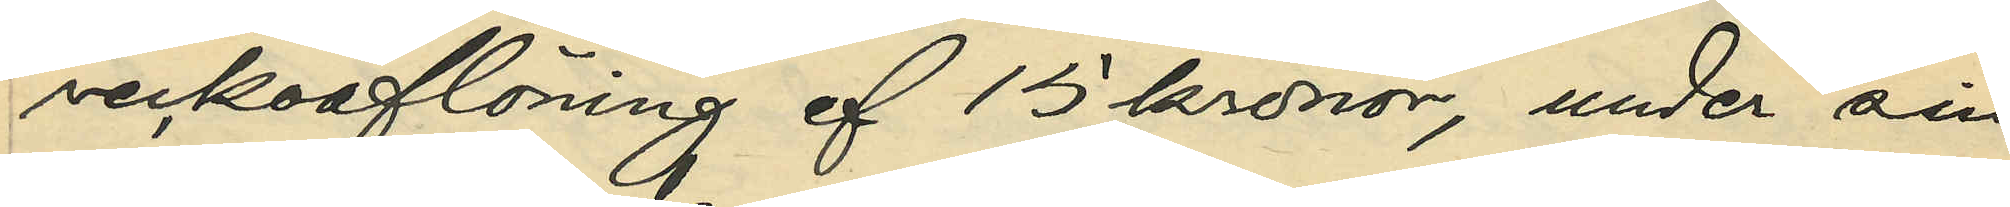veckoaflöning af 15 kronor, under sin
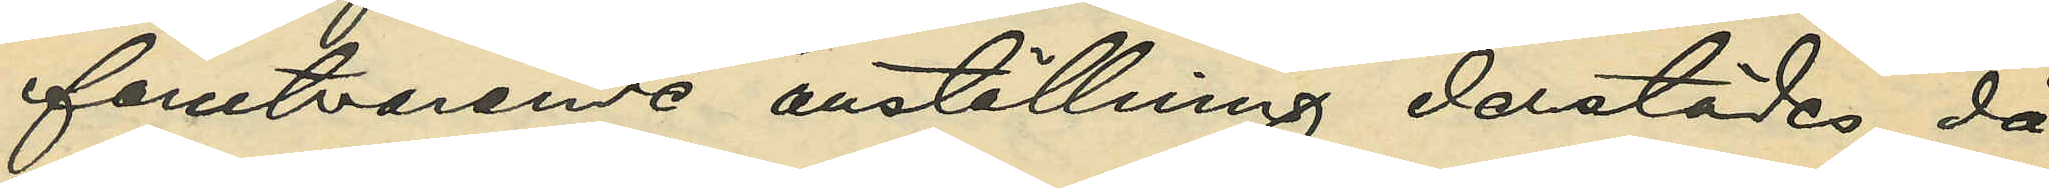förutvarande anställning derstädes, då
